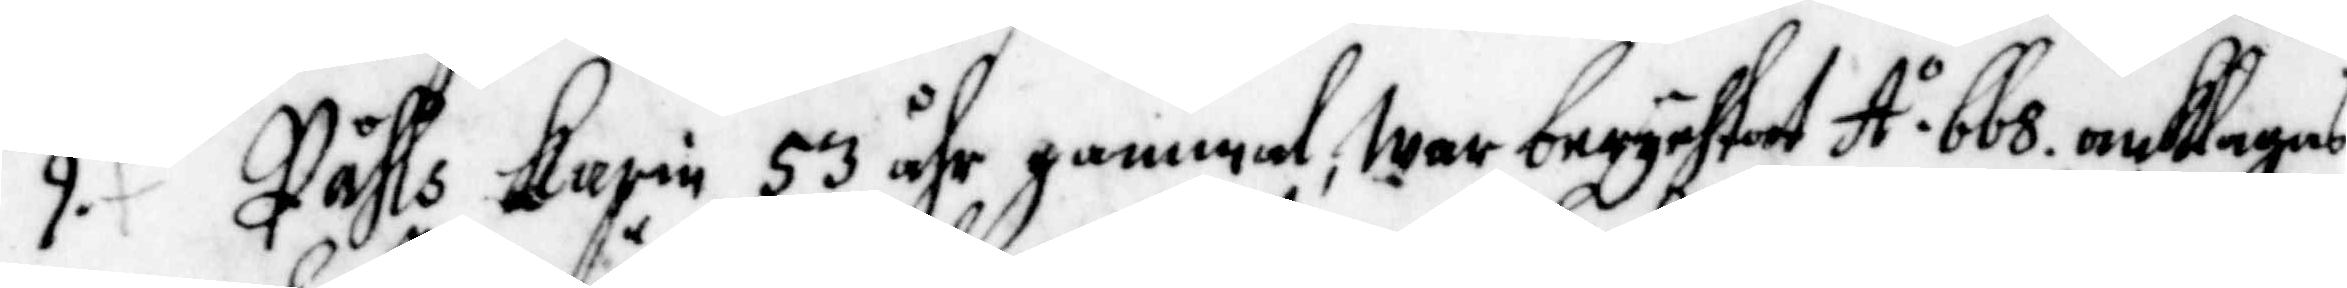9. Påhls Karin 53 åhr gammal, war berychtat A. o 668 anklagagas
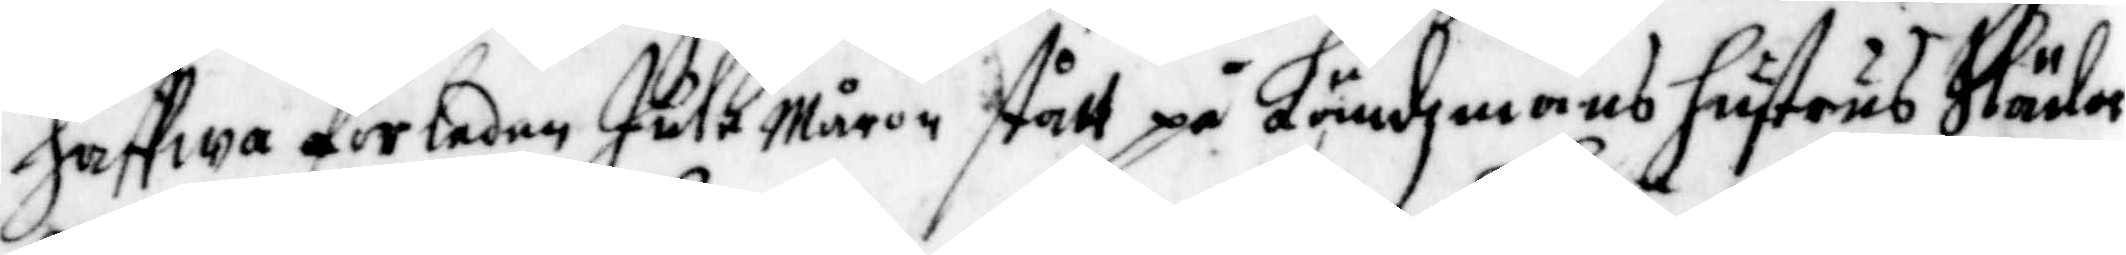haffwa förleden julemårom stått på Ländzmans hustrus släde
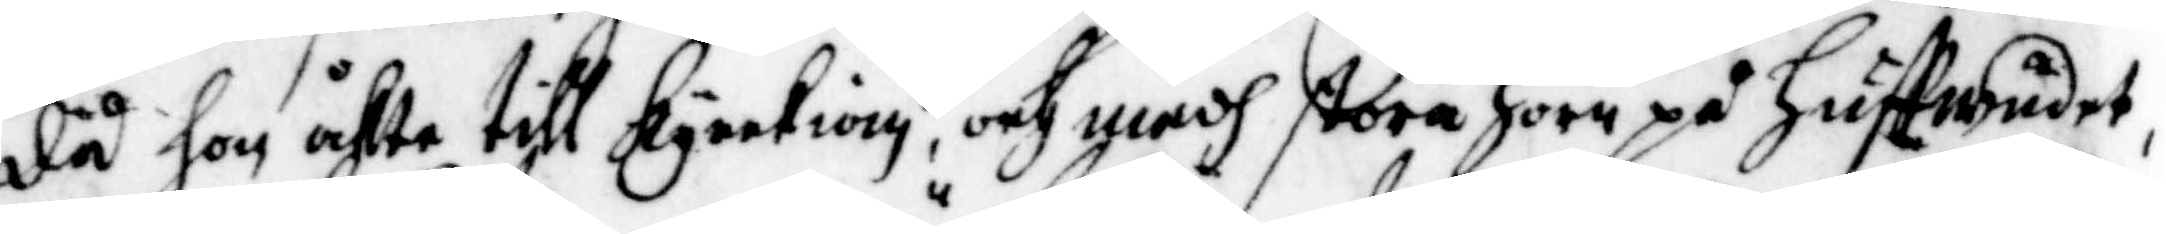då hon åkte till kyrkian, och medh stora horn på huffwudet,
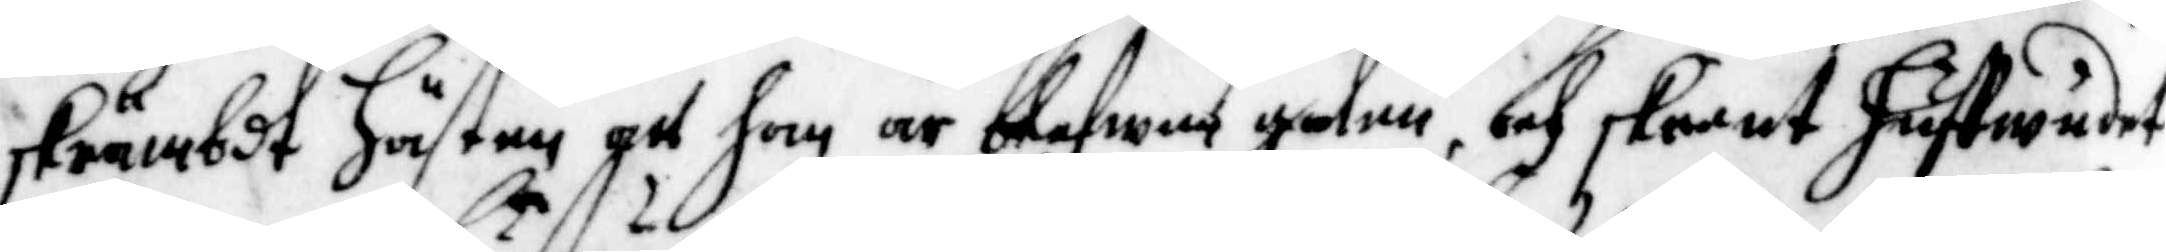skrämbt hästen att hon är blefwen galen, och skurut huffwudet
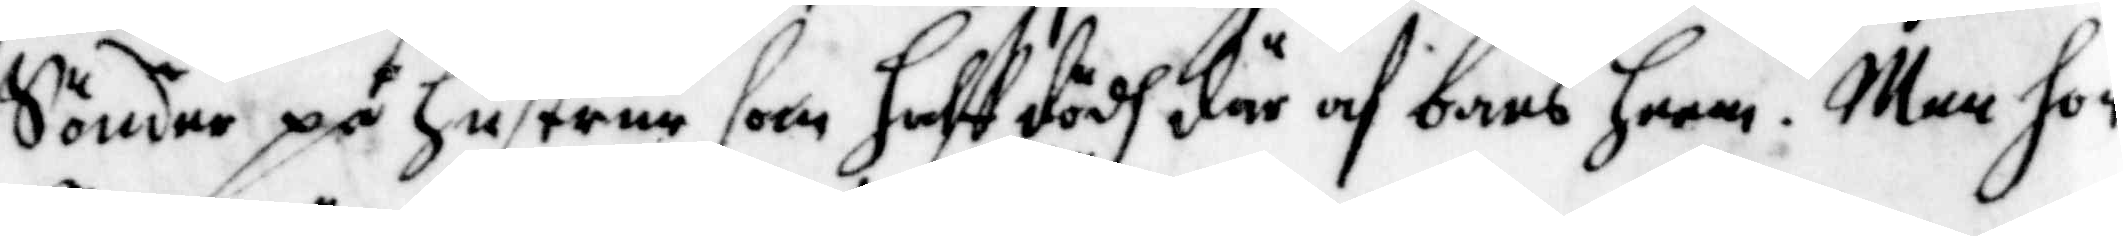Sönder på hustrun som halfft dödh där af bars heem. Men hon
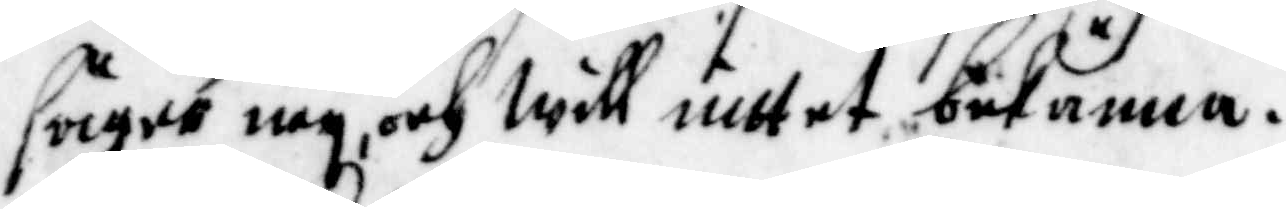säger ney, och will inttet bekänna.
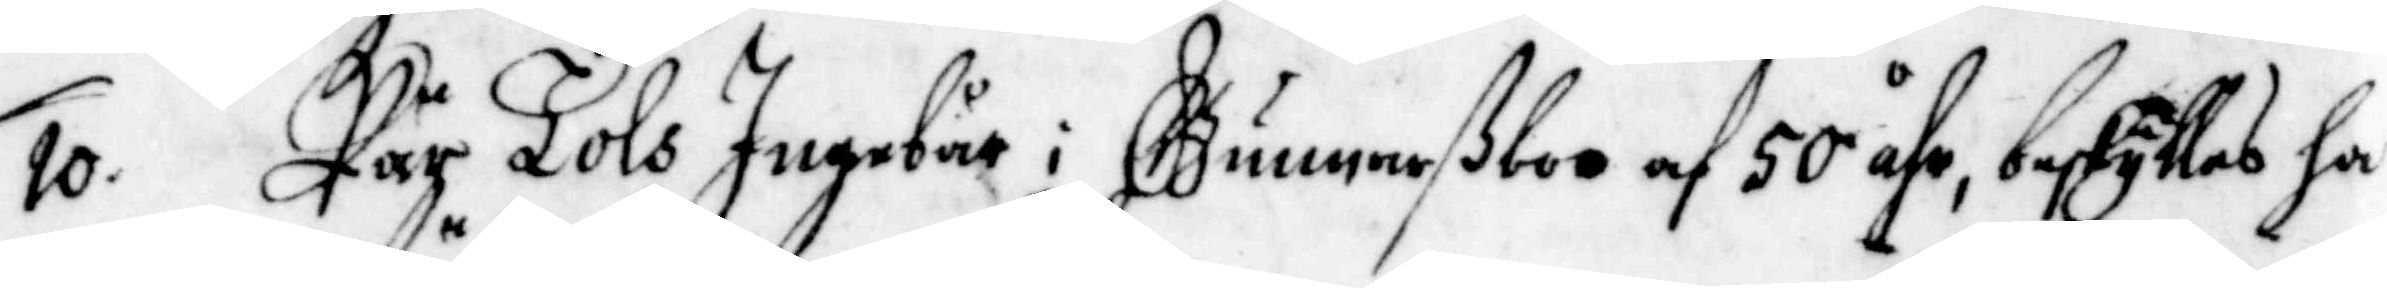10. Pär Tols Ingebår i Gunnarßboo af 50 åhr, beskylles ha
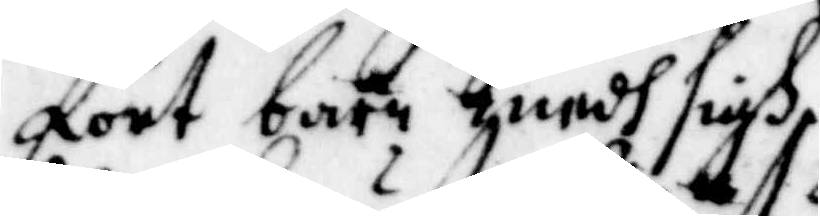fört barn medh sigh.
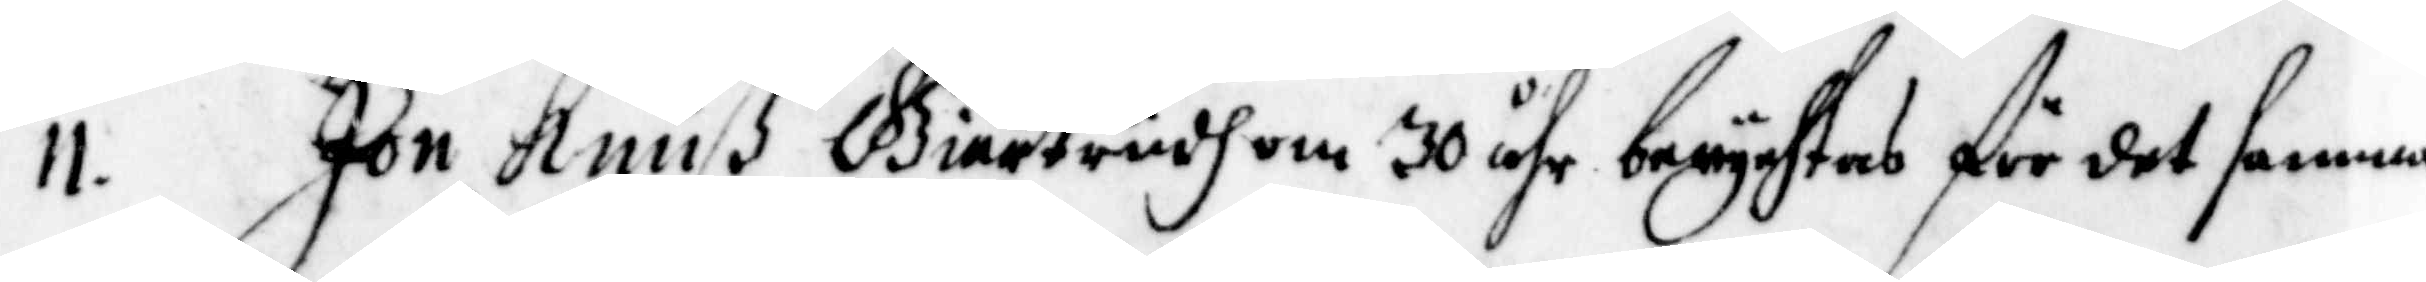11. Jon Knuß Giertrudh om 30 åhr berychtas för det samma
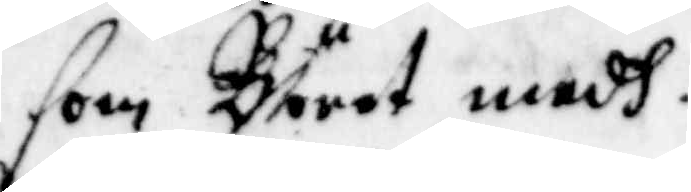som Böret medh.
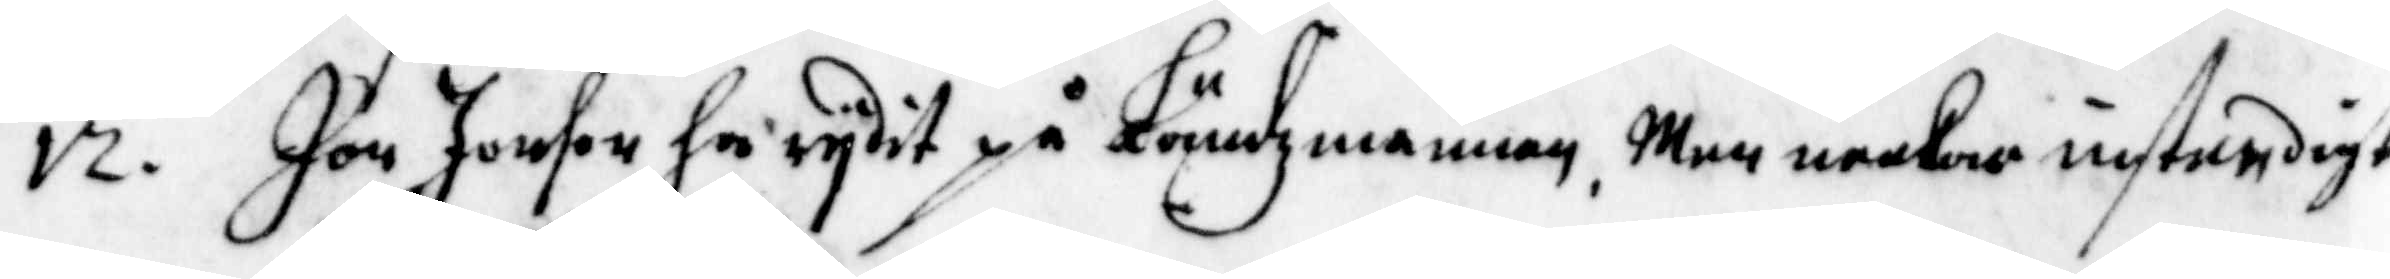12. Jon Jonson ha rydit på Ländzmannen, Men neekar instendigt
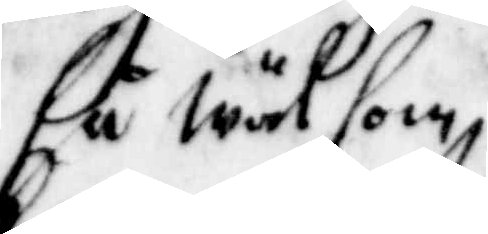så wäl som,
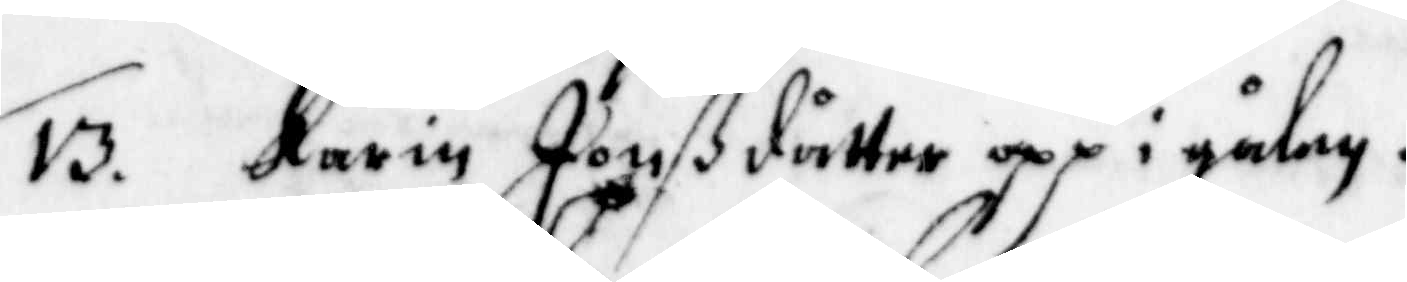13. Karin Jonßdåtter opp i gålen.
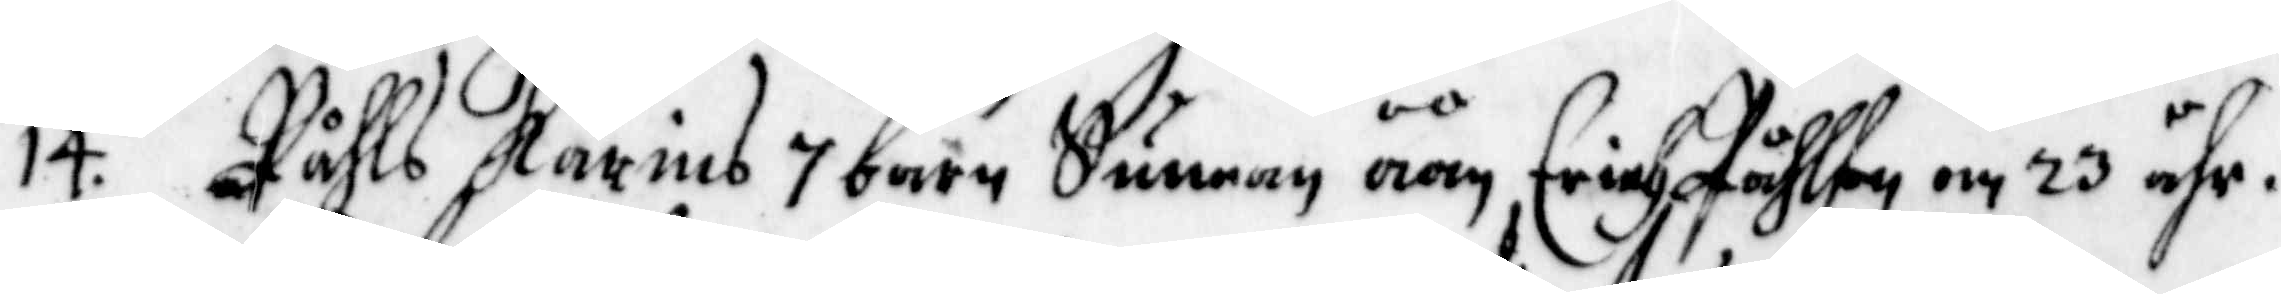14. Påhls Karins 7 barn Sunnan åån Erik Påhlson om 23 åhr.
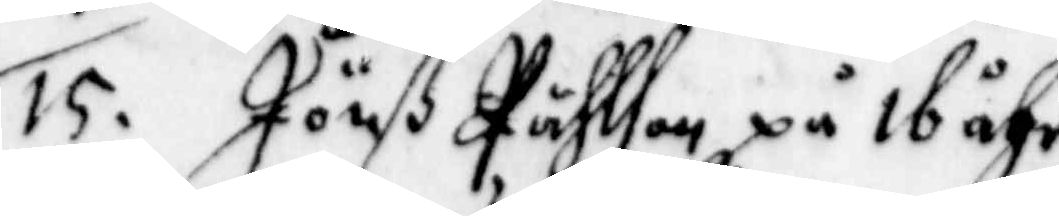15. Jöns Påhlson på 16 åhr.
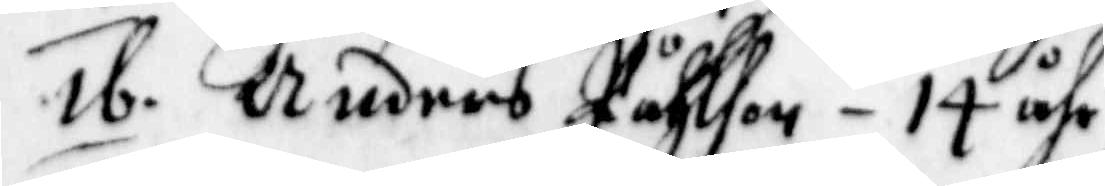16. Anders Påhlson - 14 åhr
